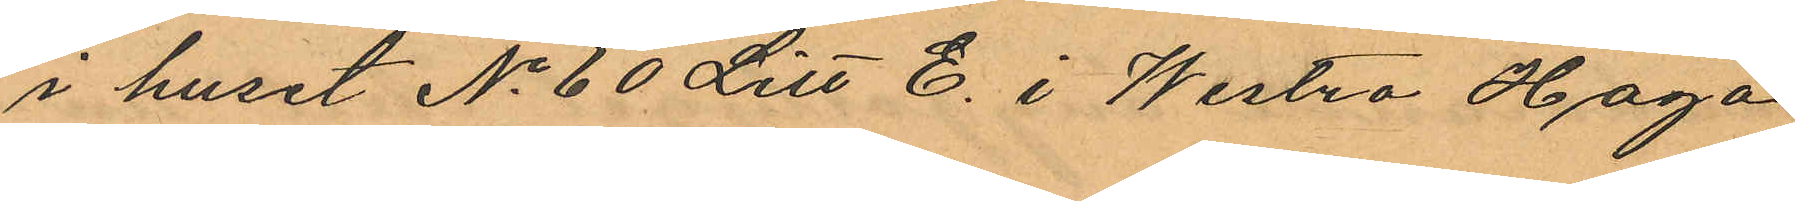i huset No 60 Litt E. i Westra Haga
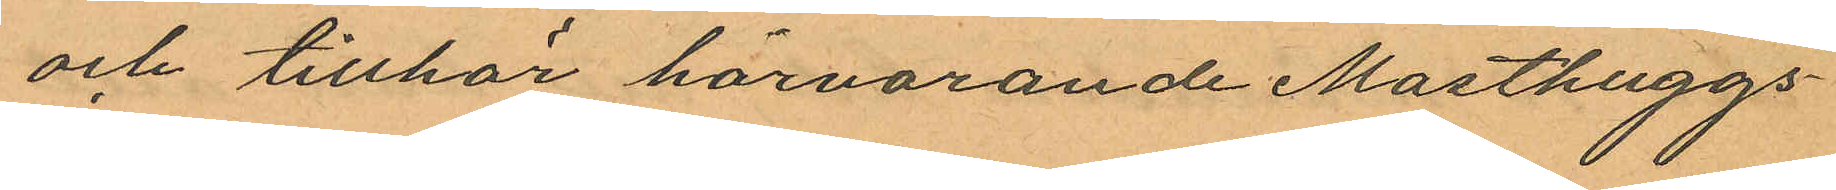och tillhör härvarande Masthuggs¬
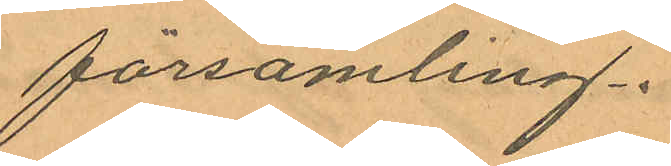församling.
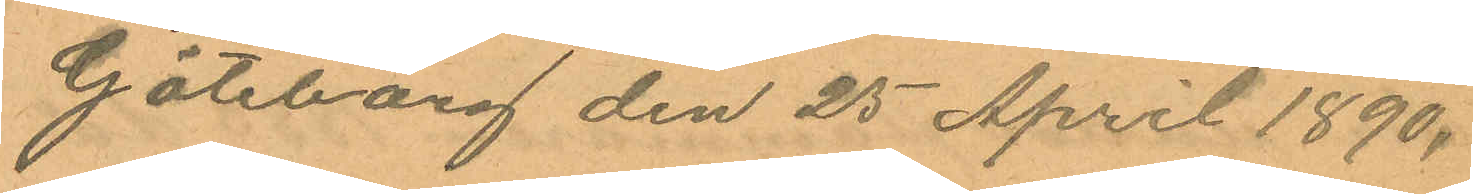Göteborg den 25 April 1890.
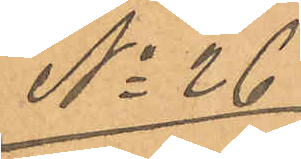No 26
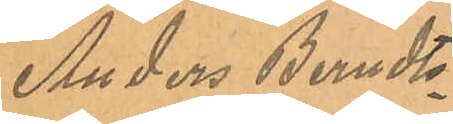Anders Berndts¬
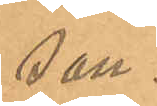son.
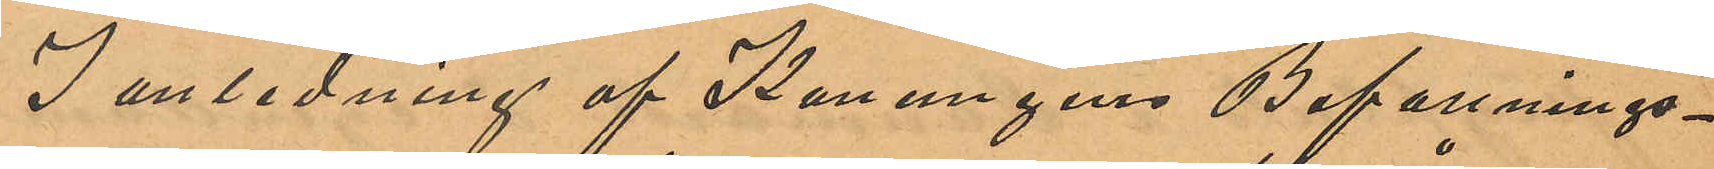I anledning af Konungens Befallnings¬
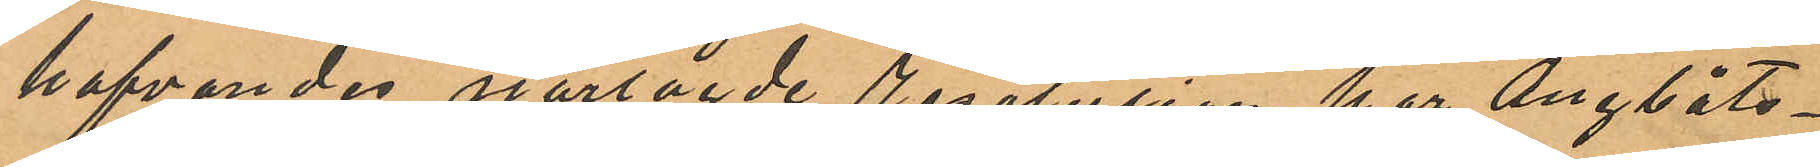hafvandes närlagde resolution har ångbåts¬
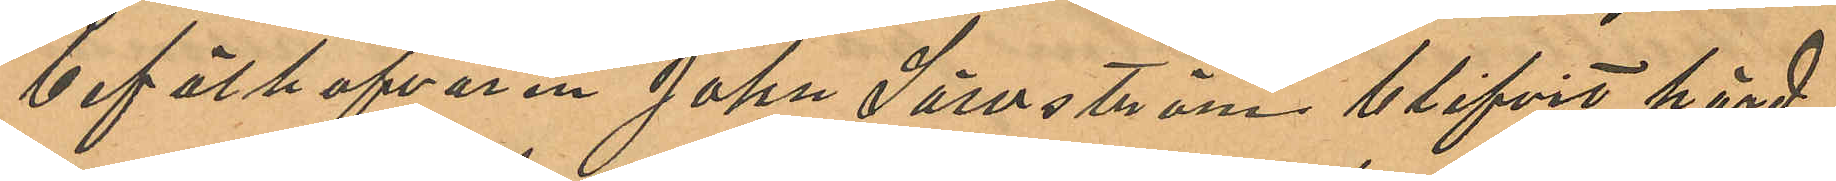befälhafvaren John Säwström blifvit hörd
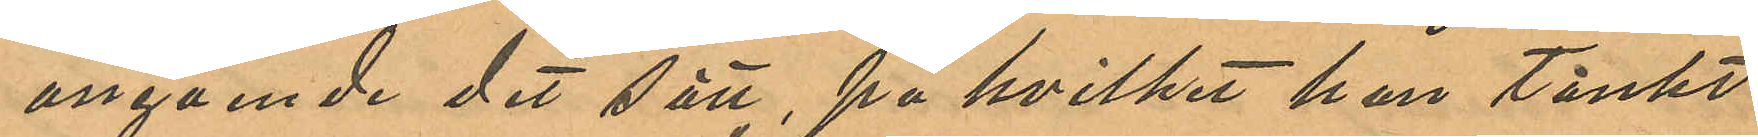angående det sätt, på hvilket han tänkt
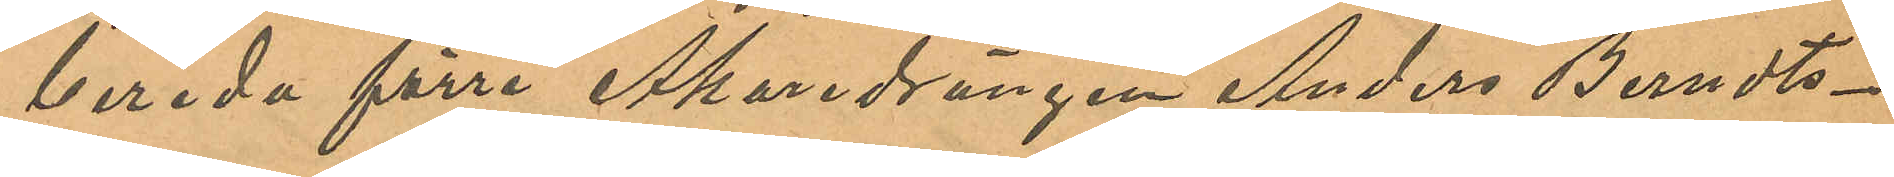bereda förre Åkaredrängen Anders Berndts¬
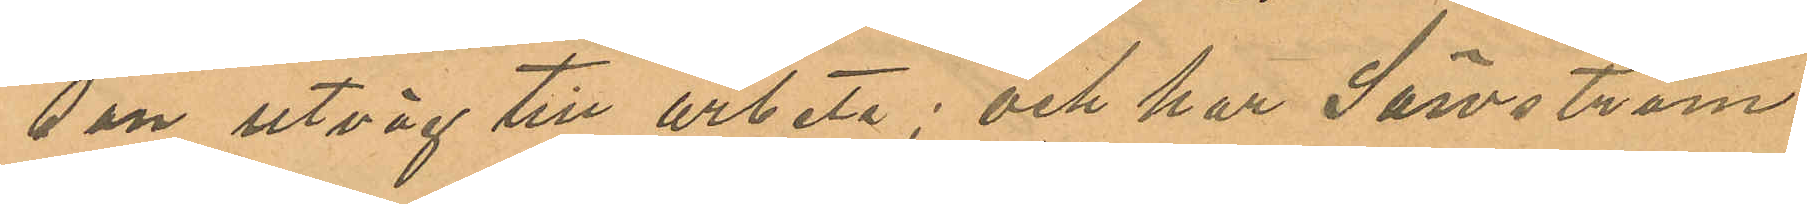son utväg till arbete; och har Säwström
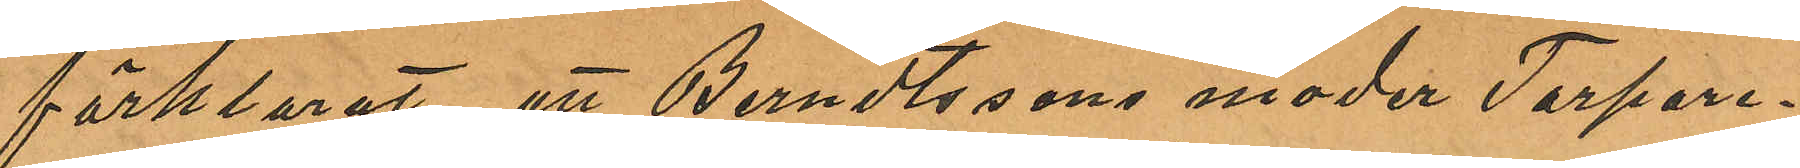förklarat att Berndtssons moder Torpare¬
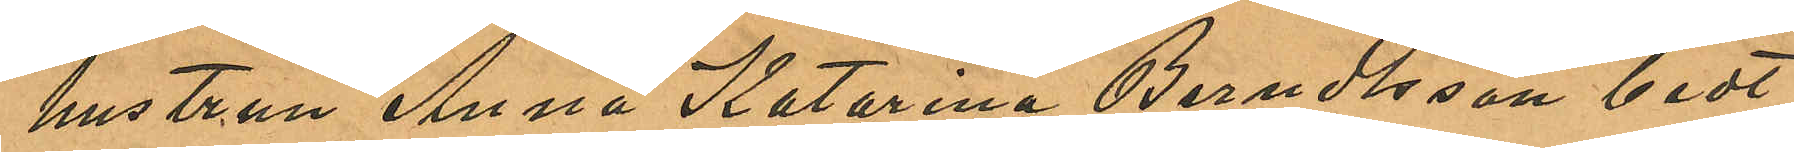hustrun Anna Katarina Berndtsson bedt
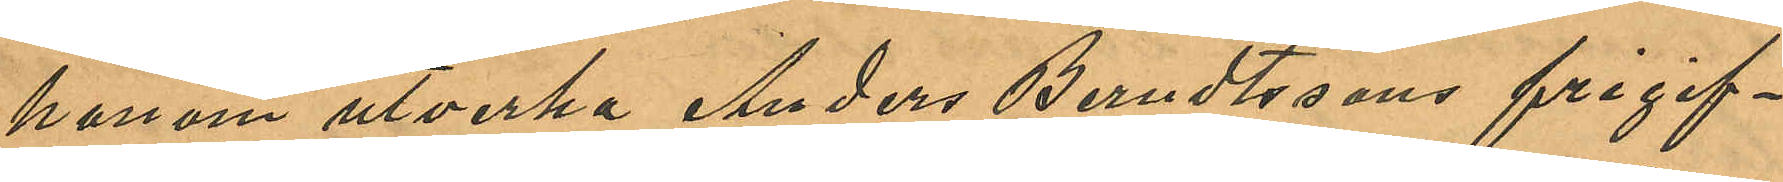honom utverka Anders Berndtssons frigif¬
